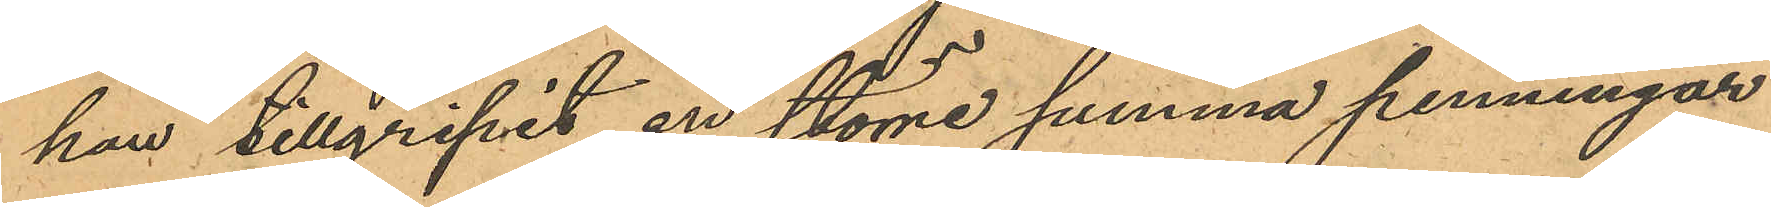han tillgripit en större summa penningar
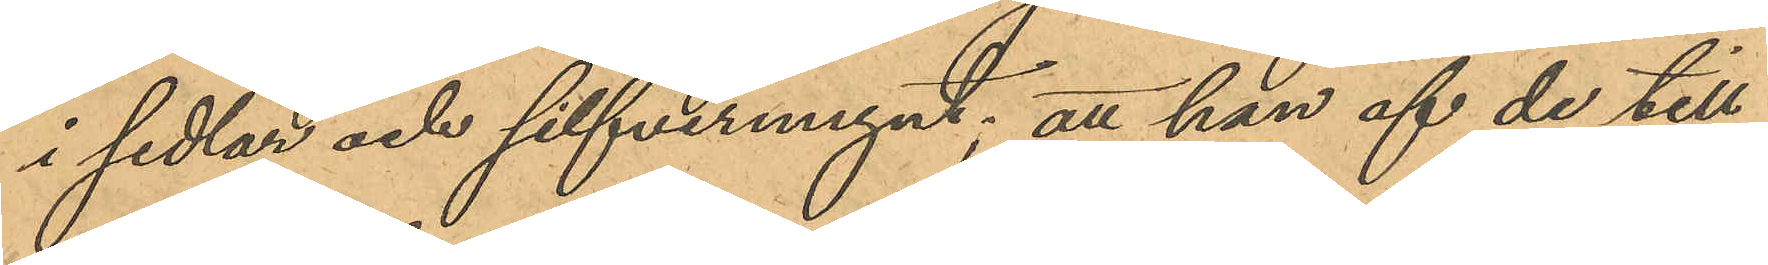i sedlar och silfvermynt; att han af de till¬
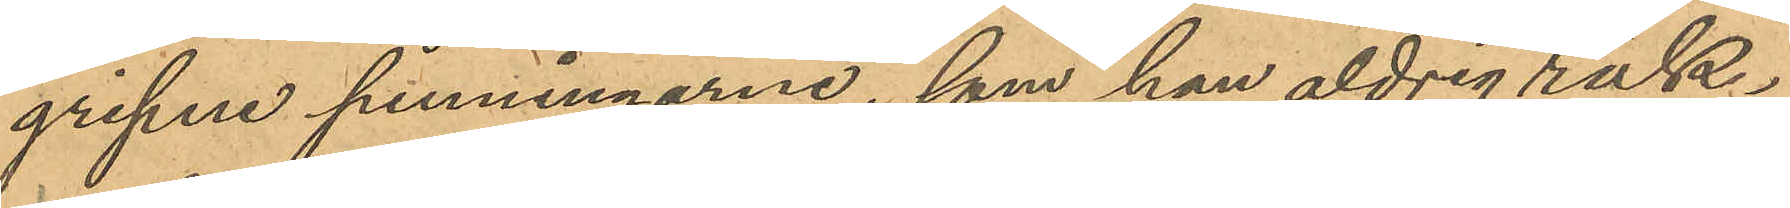gripne penningarne, som han aldrig räk¬
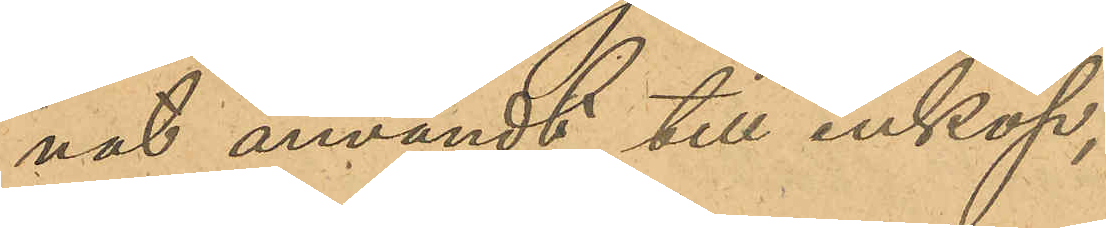nat användt till inköp,
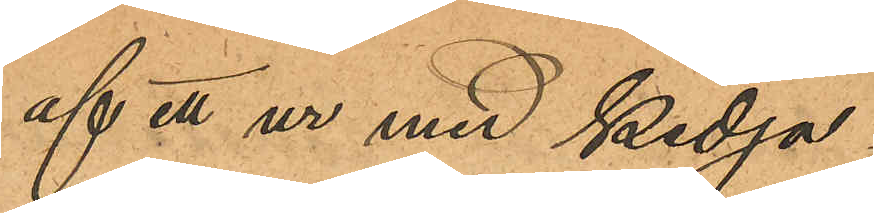af ett ur med kedja;
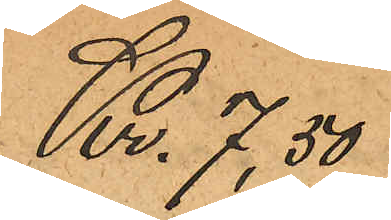Kr 7,50
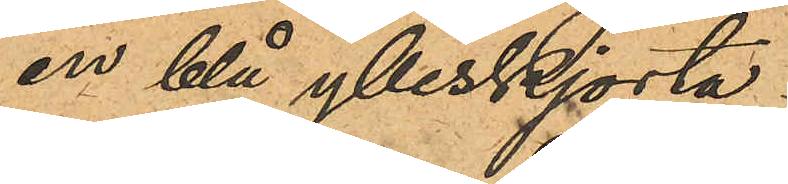en blå ylleskjorta
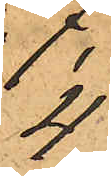4
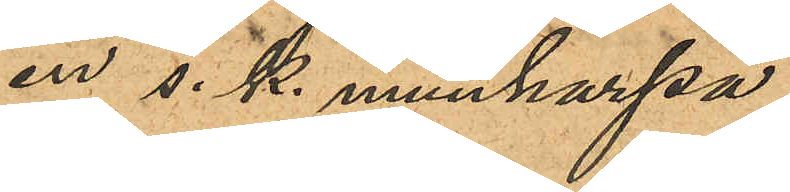en s. k. munharpa
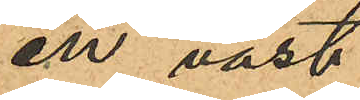en väst
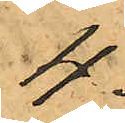4
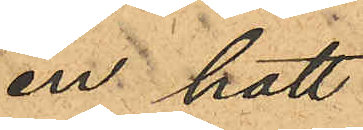en hatt
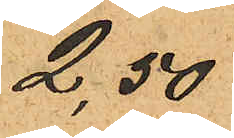2,50
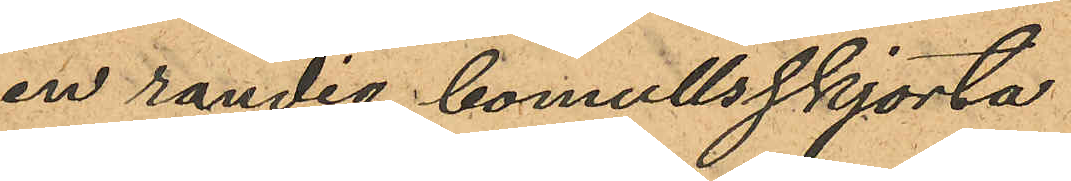en randig bomullsskjorta
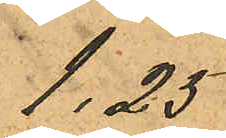1,25
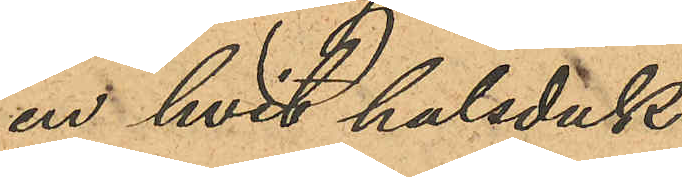en hvit halsduk
